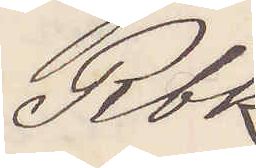Rbk
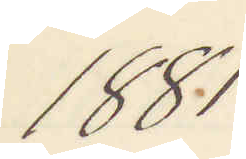1881
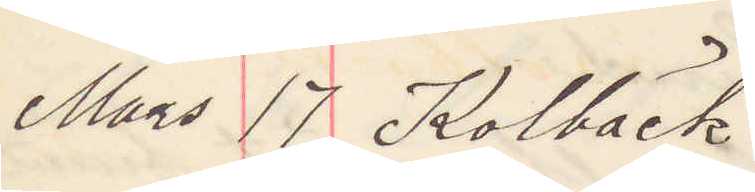Mars 17 Kolbäck
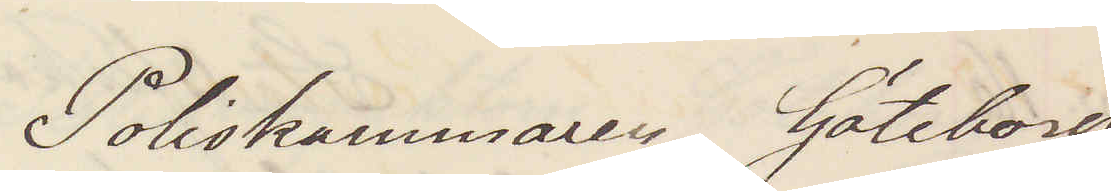Poliskammaren Göteborg
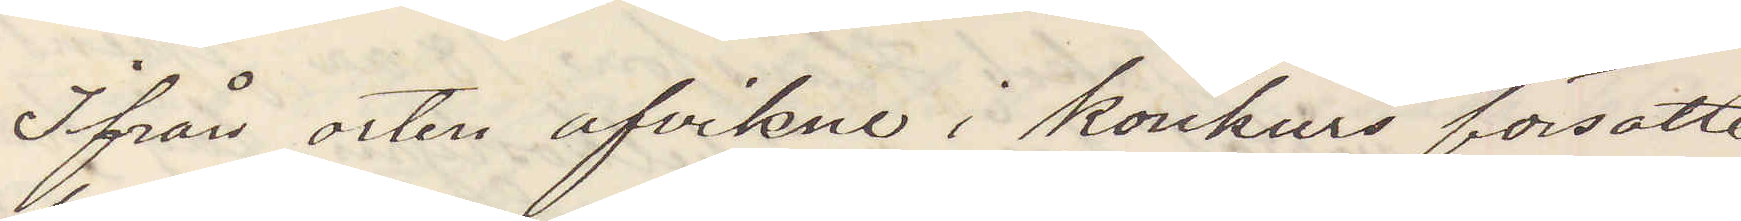Ifrån orten utvikne i konkurs försatte
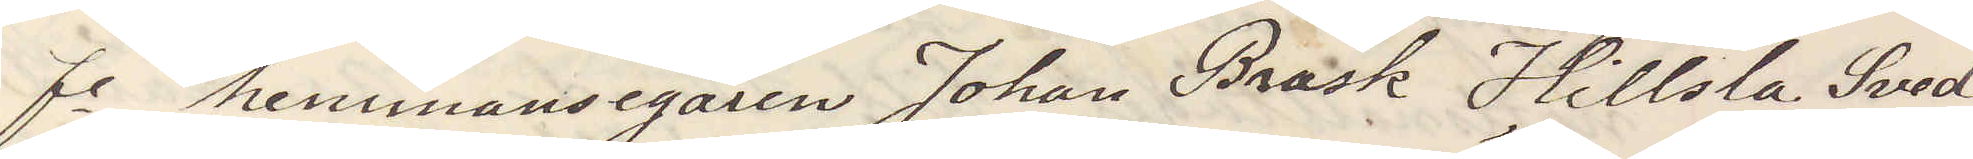fe hemmansegaren Johan Brask Hillsta Sved¬
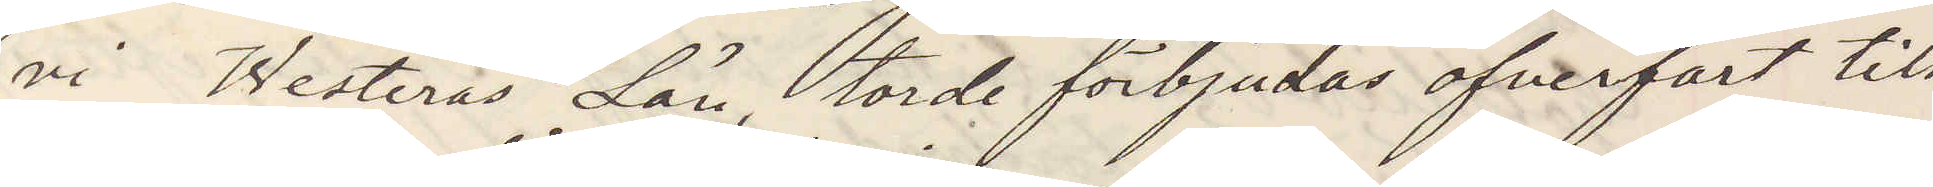vi Westerås Län, torde förbjudas öfverfart till
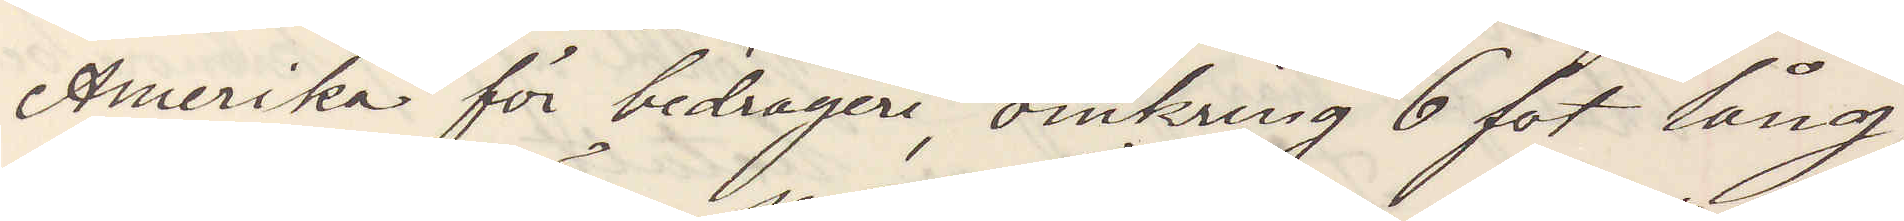Amerika för bedrägeri, omkring 6 fot lång,
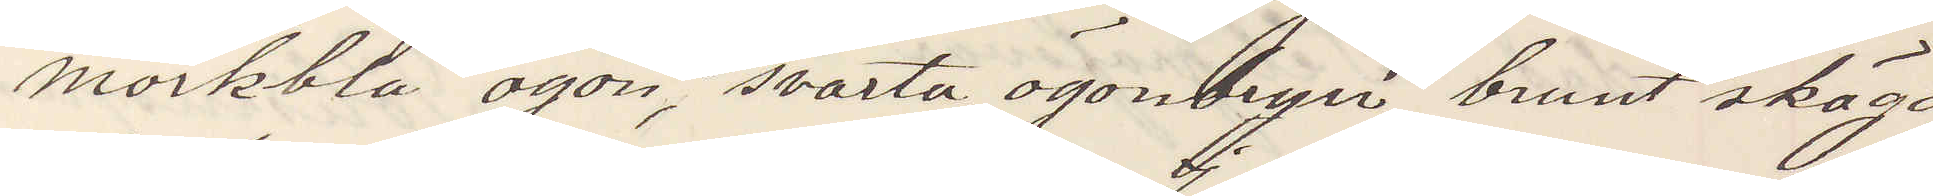mörkblå ögon, svarta ögonbryn, brunt skägg
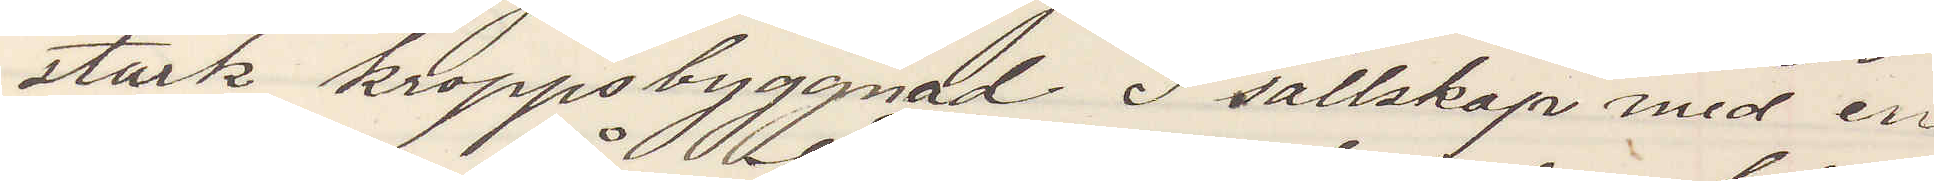stark kroppsbyggnad. I sällskap med en
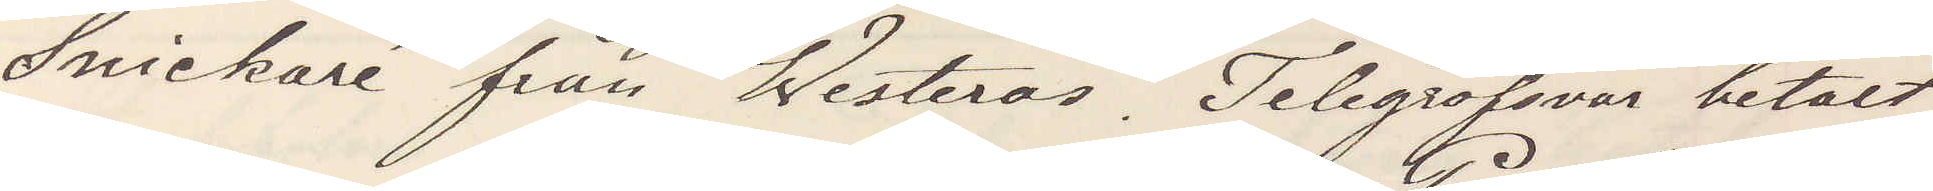Snickare från Westerås. Telegrafsvar betalt
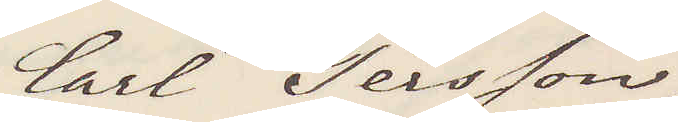Carl Persson
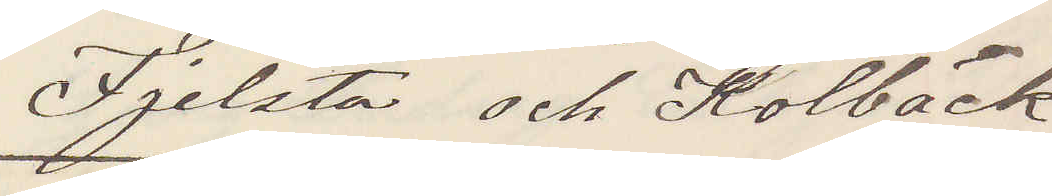Fjelsta och Kolbäck
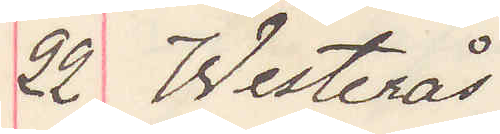22 Westerås
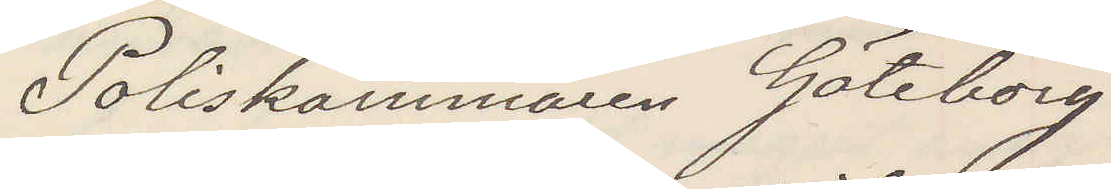Poliskammaren Göteborg
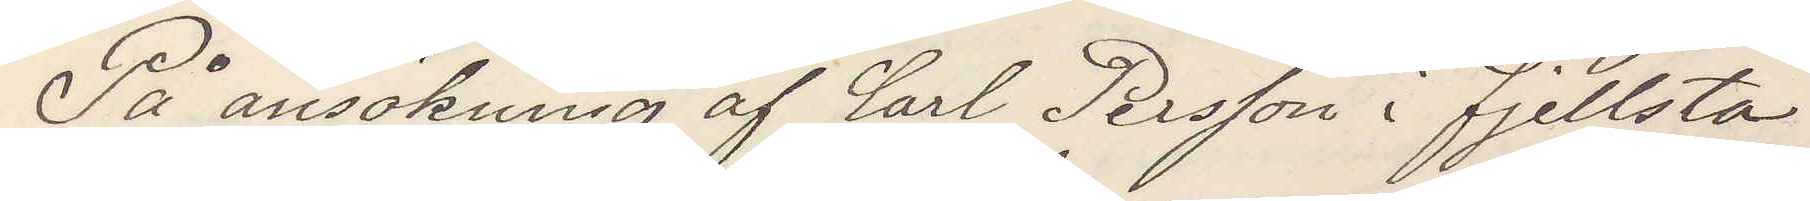På ansökning af Carl Persson i Fjellsta
